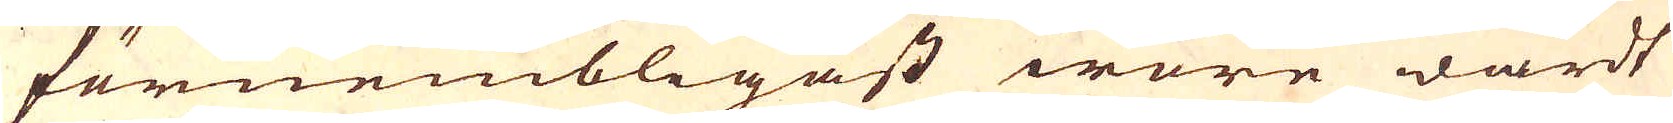förnembligast wore wärdt
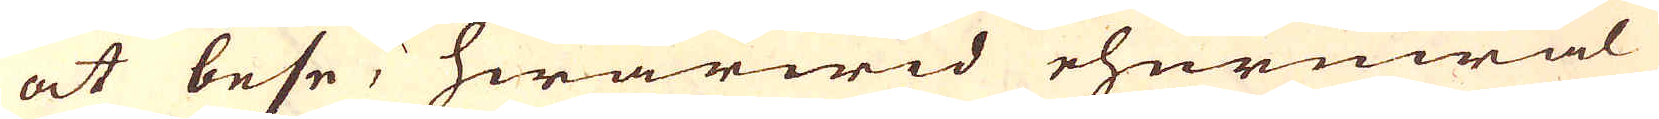at bese, hwarwid ehuruwäl
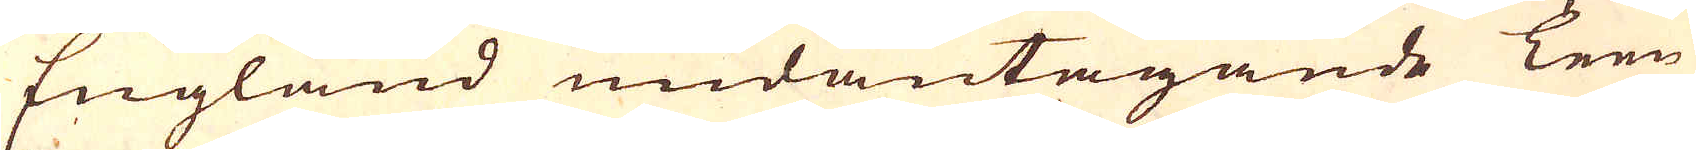England undantagande Tenn
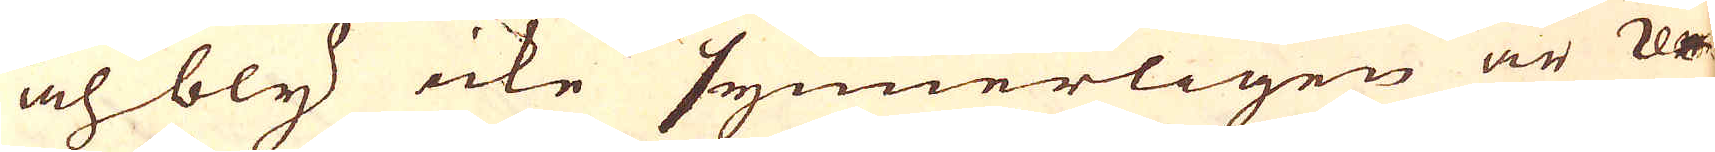och bly icke synnerligen är re-
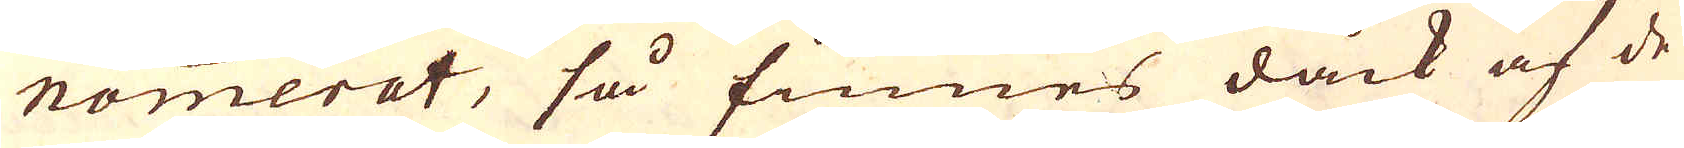nommerat, så finnes dåck af de
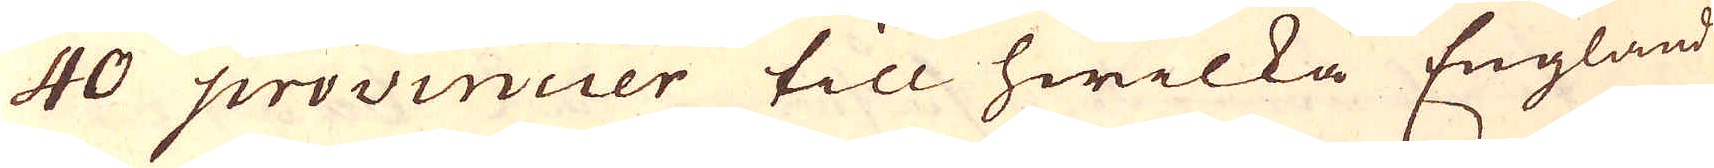40 provincier till hwilka England
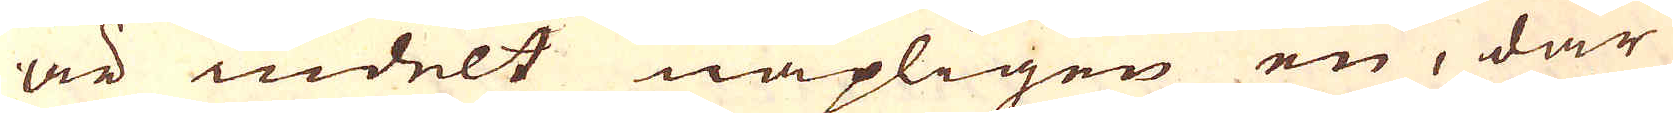är indelt näpligen en, där
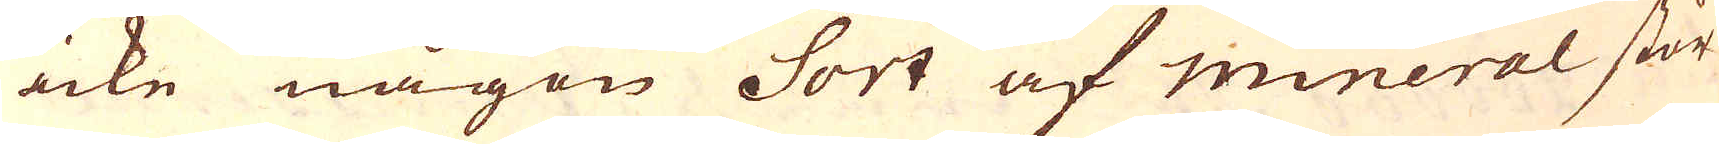icke någon Sort af mineral stör-
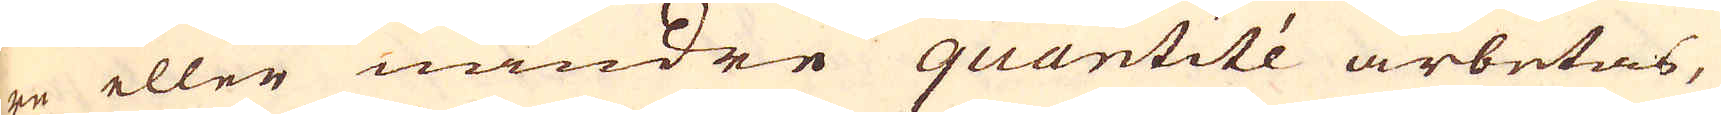re eller mindre quantité arbetas,
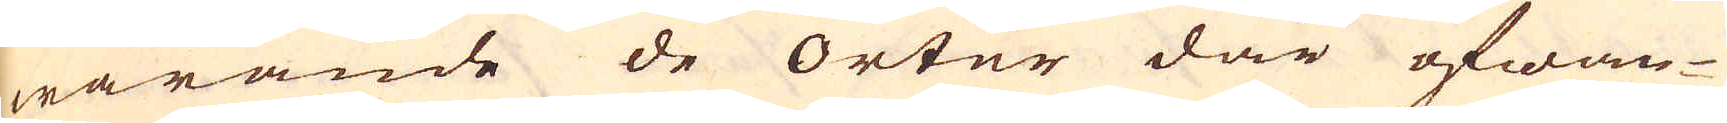warande de orter där ofwan-
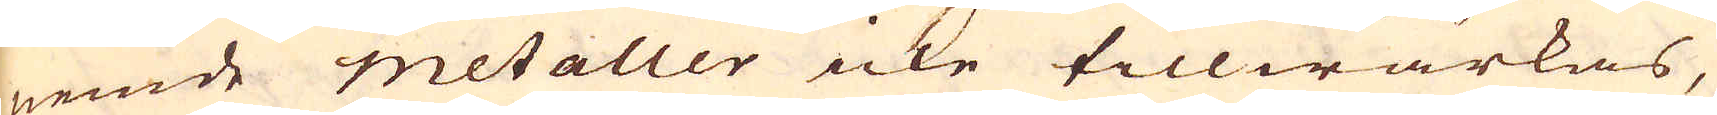nemde metaller icke tillwärkas,
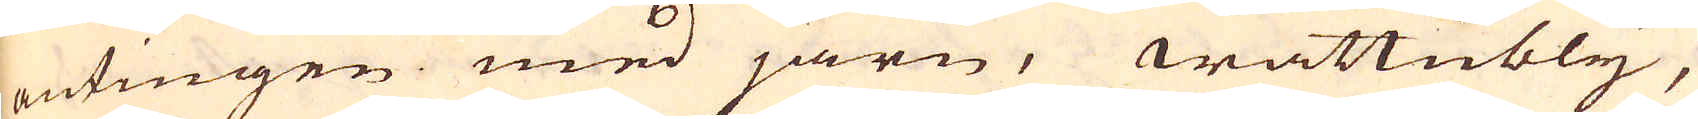antingen med järn, wattubly,
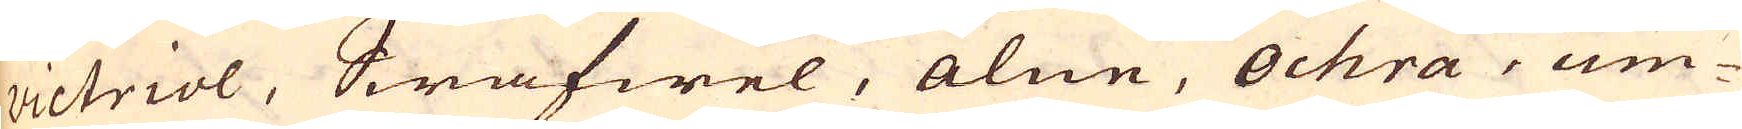victriol, Swafwel, alun, ochra, um-
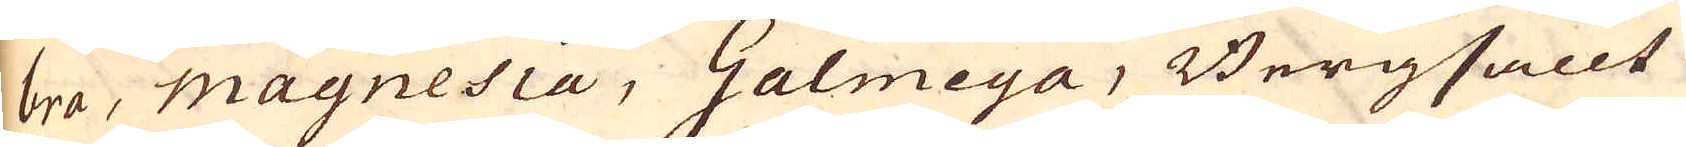bra, magnesia, Galmeya, Bergsallt
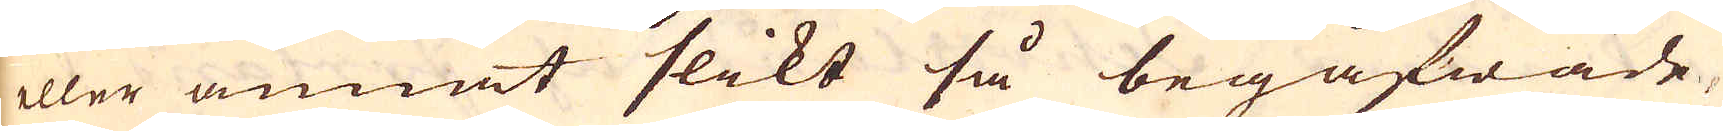eller annat slikt så begåfwade
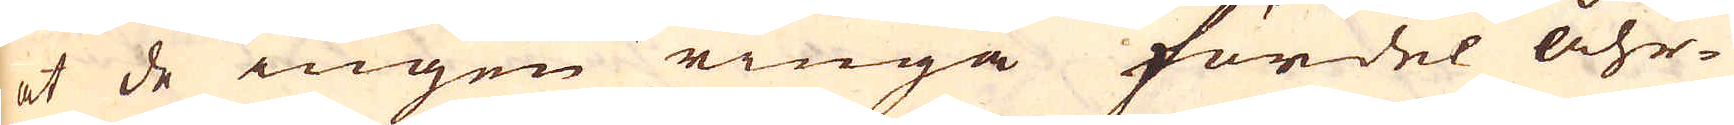at de ingen ringa fördel åhr-
